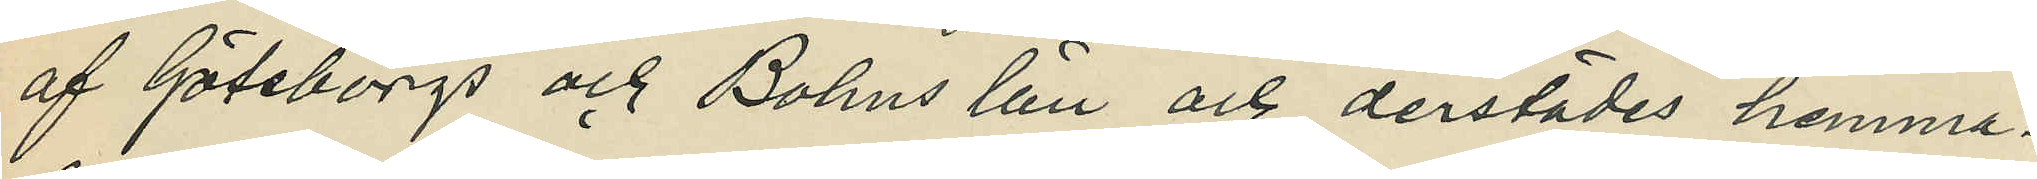af Göteborgs och Bohus län och derstädes hemma¬
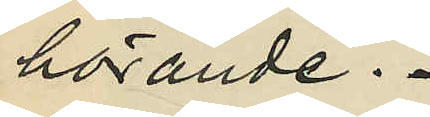hörande.
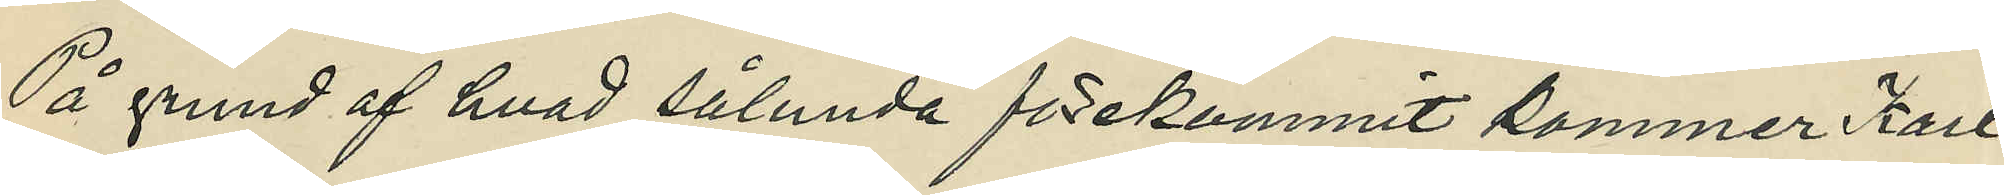På grund af hvad sålunda förekommit kommer Karl
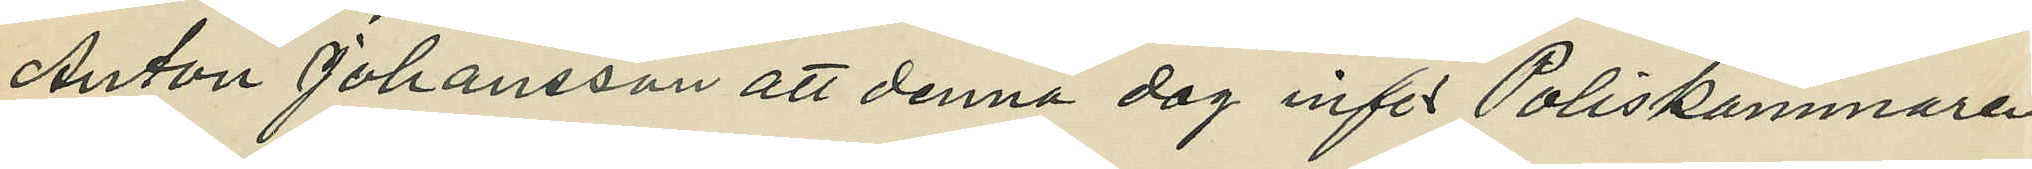Anton Johansson att denna dag inför Poliskammaren
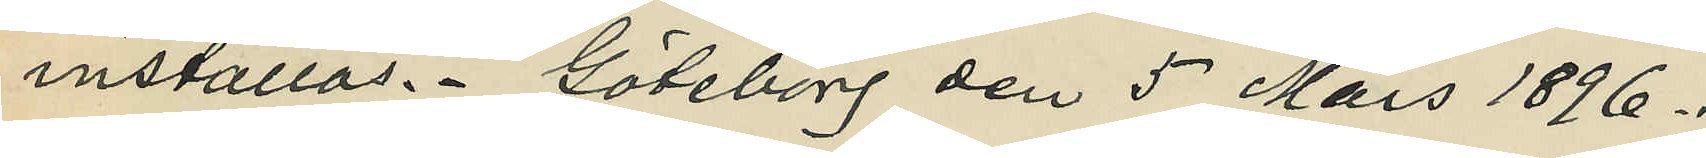inställas. Göteborg den 5 Mars 1896.
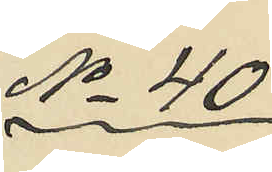No 40
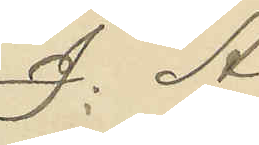J. A. 
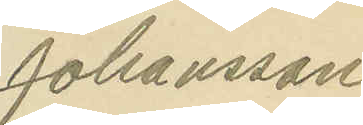Johansson
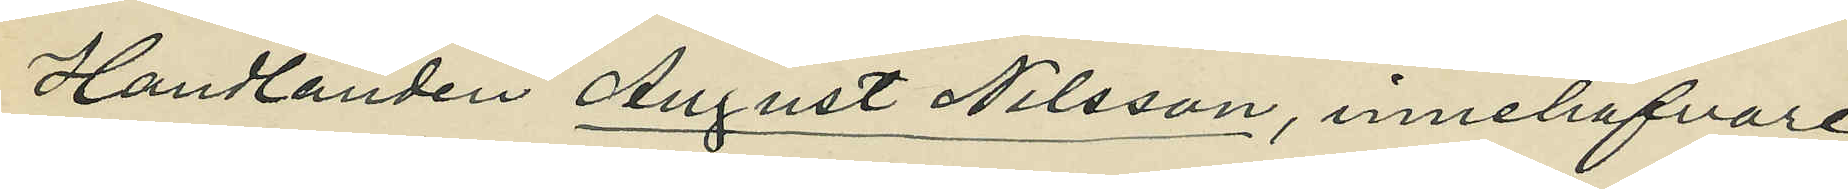Handlanden August Nilsson, innehafvare
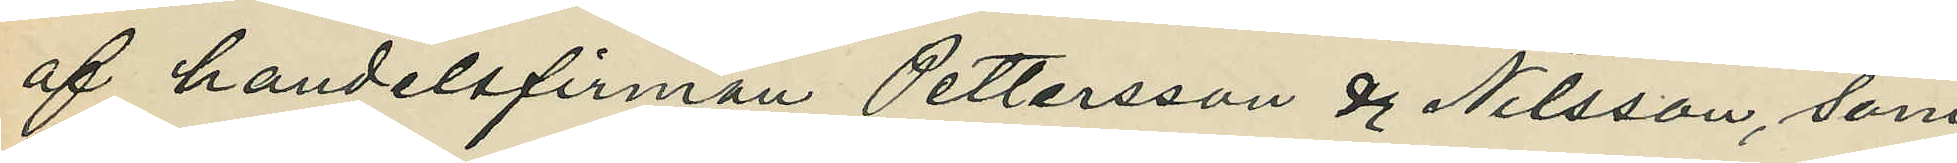af handelsfirman Pettersson & Nilsson, som
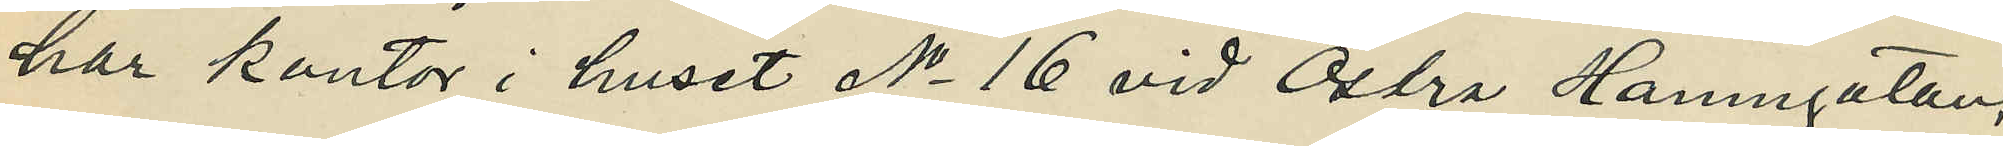har kontor i huset No 16 vid Östra Hamngatan
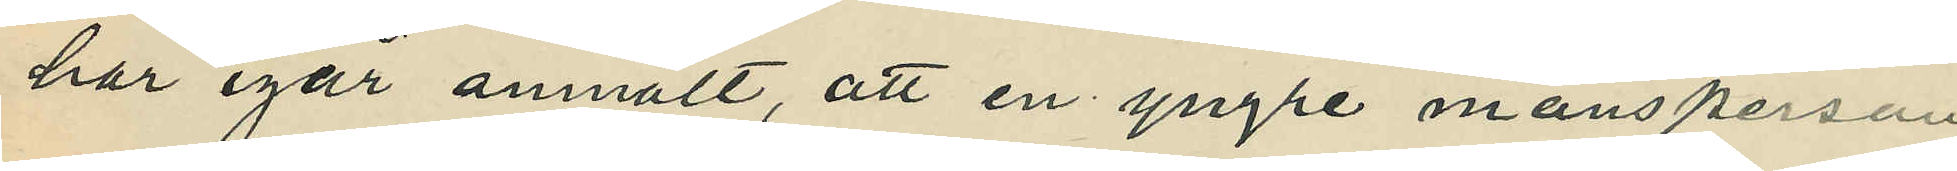har igår anmält, att en yngre mansperson
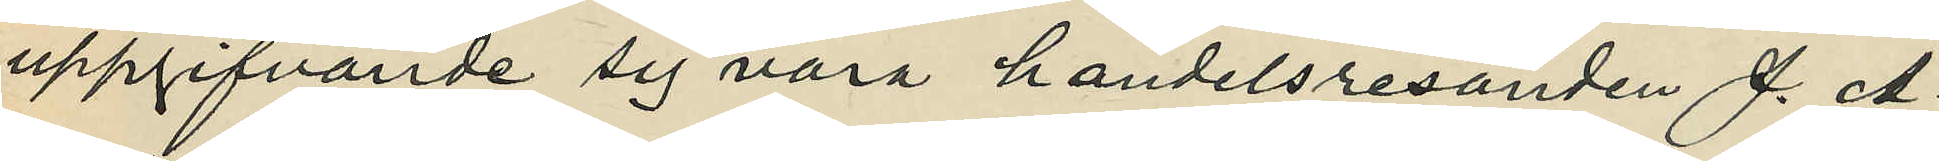uppgifvande sig vara handelsresanden J. A.
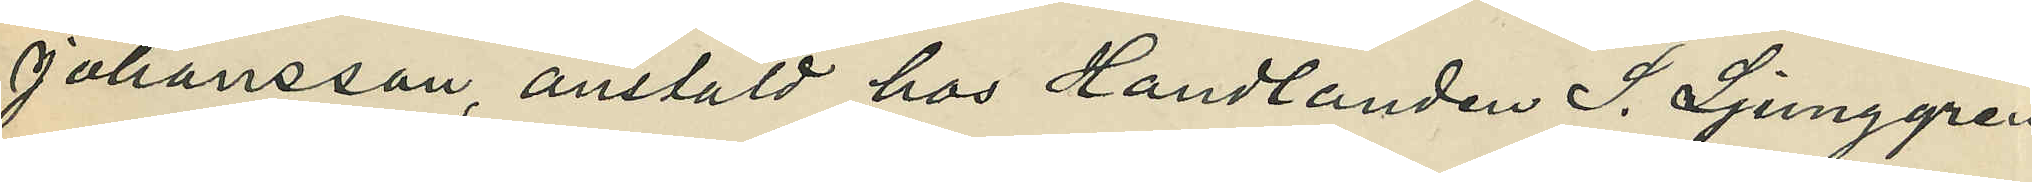Johansson, anstäld vid Handlanden S. Ljunggren
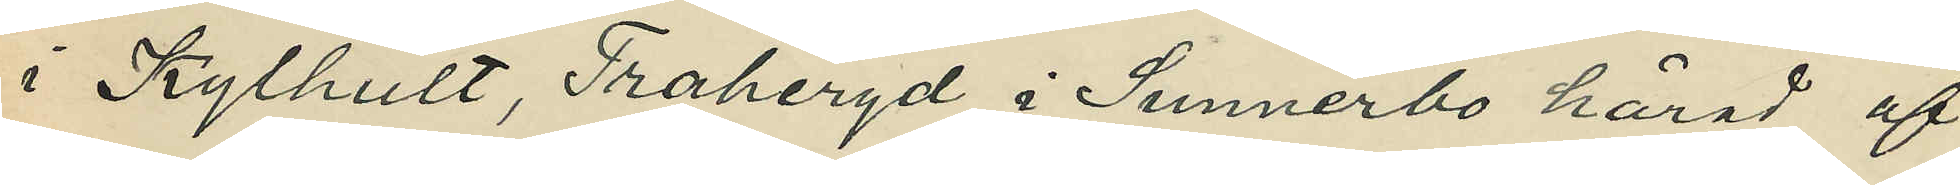i Kylhult, Traheryd I Sunnerbo härad af
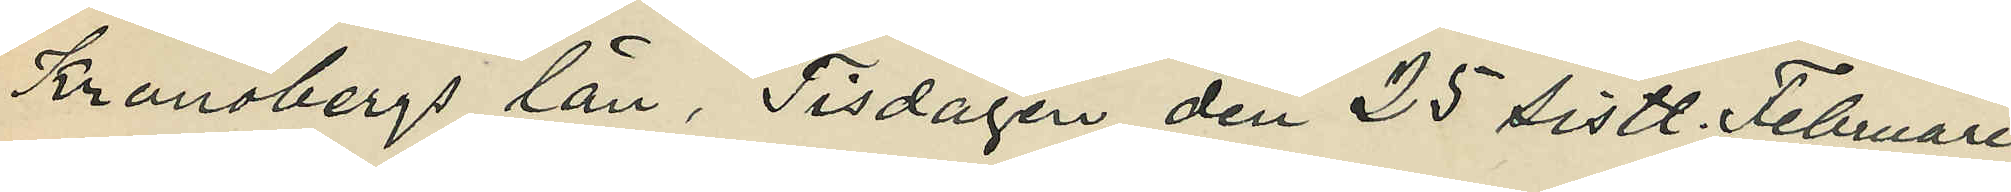Kronobergs län, Tisdagen den 25 sistl. Februari
